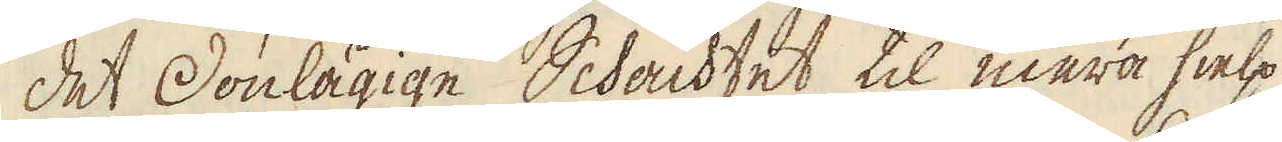det Donlägige Schachtet, til mera hielp
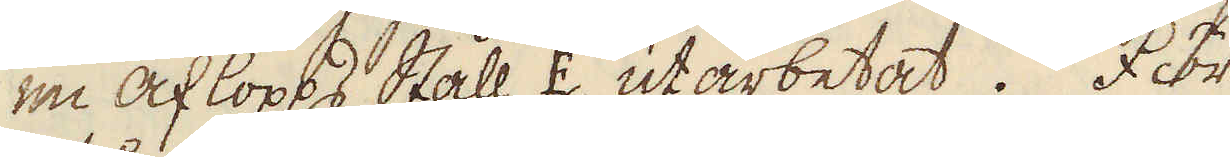en aflopps Ståll E. utarbetat. För
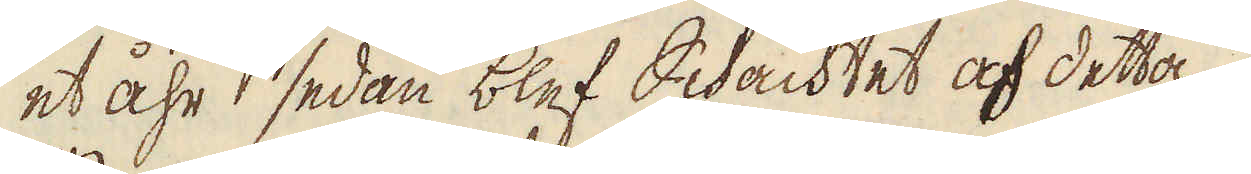et åhr sedan blef Schachtet af detta
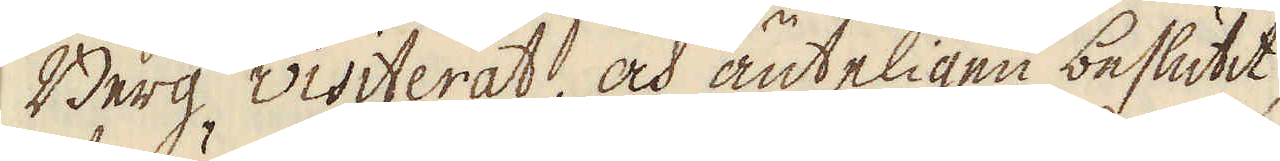Berg, visiterat, och änteligen beslutit,
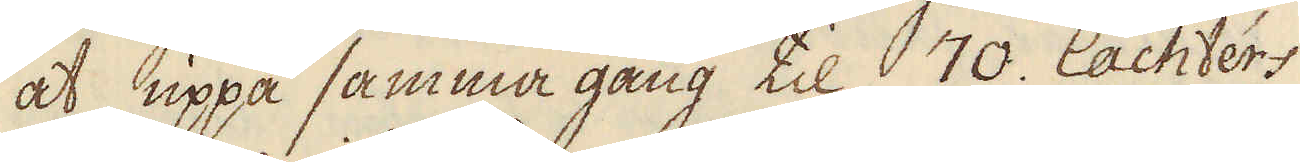at uppå samma gång til 70. lachters
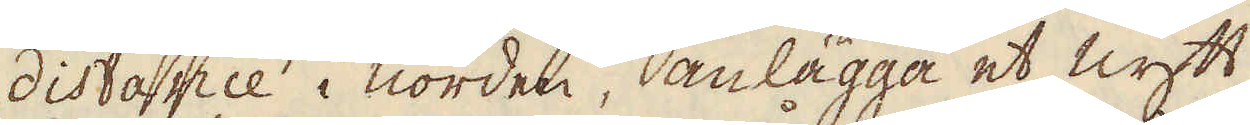distance i norden, anlägga et nytt
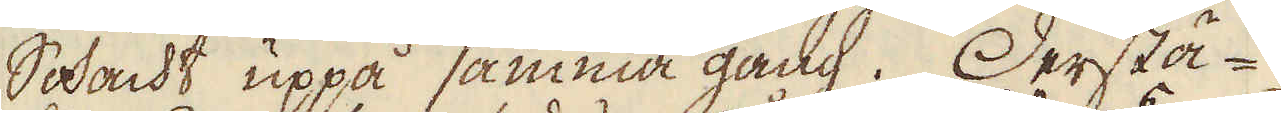Schacht uppå samma gång. Derstä-
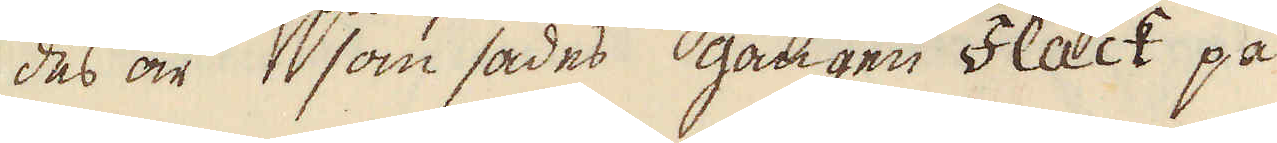des är som sades, gången Flack på
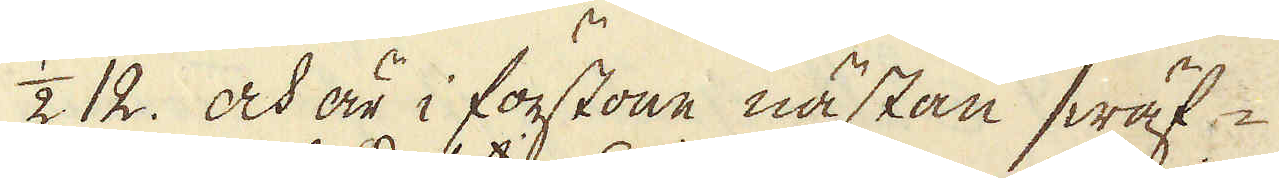1/2 12. och är i förstone nästan swäf-
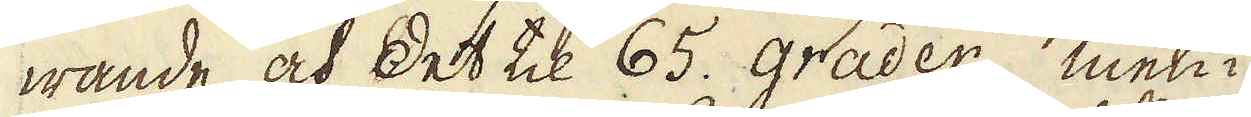wande och det til 65. grader, men i
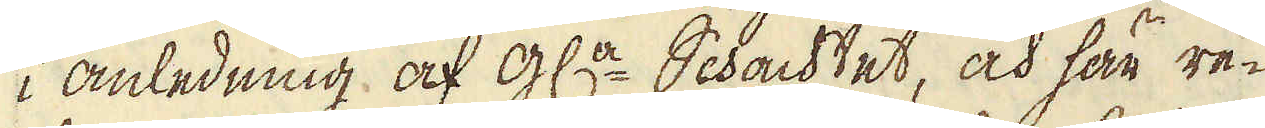i anledning af gl:a Schachtet, och här re-
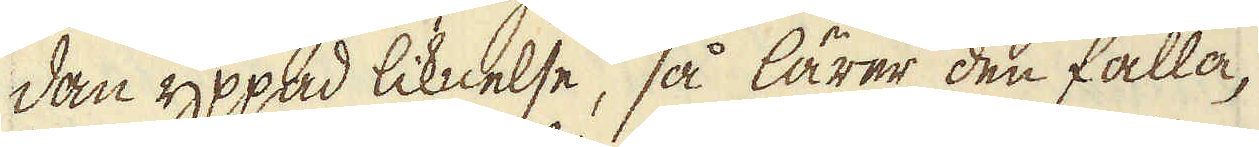dan yppad liknelse, så lärer den falla,
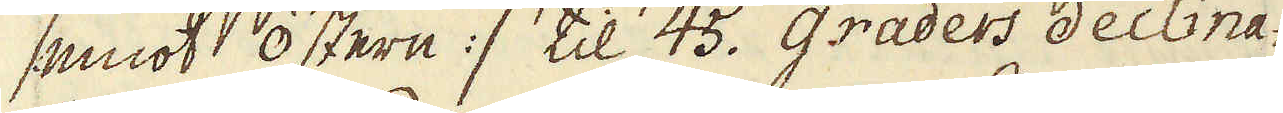/: emot Östern :/ i til 45. graders declina-
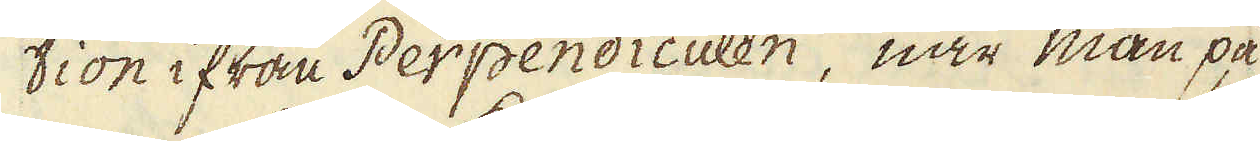tion ifrån Perpendiculen, när man på
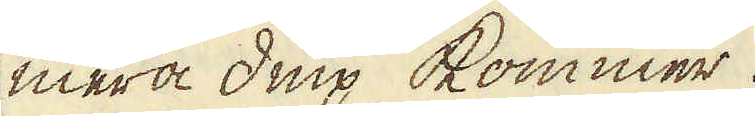mera diup kommer.
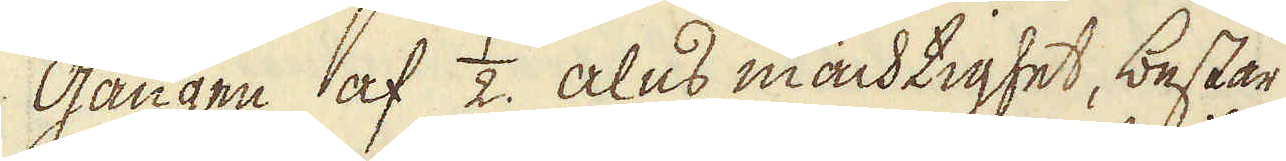Gången af 1/2 alns mächtighet, består
